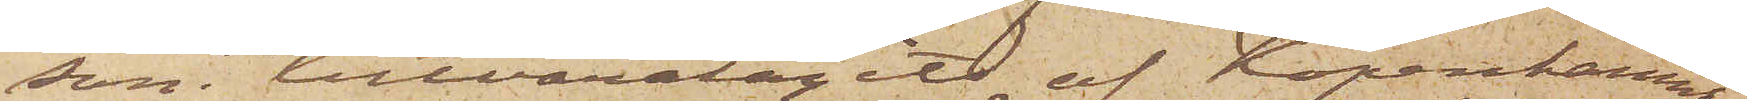som tillvaratagits af Köpenhamns
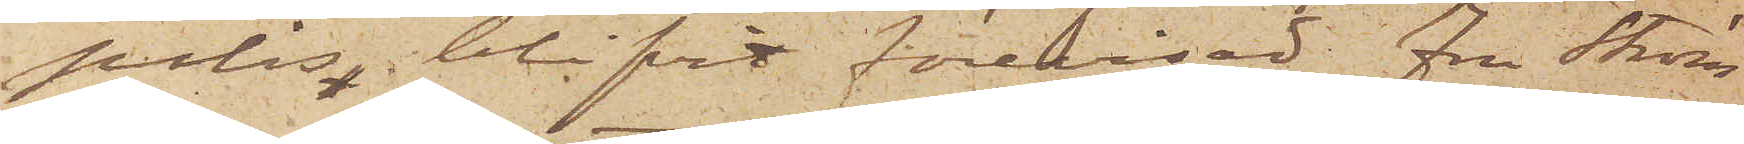polis blifvit förevisad Fru Ström¬
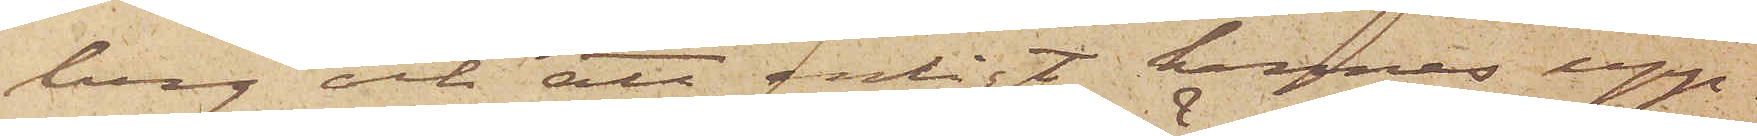berg och att enligt hennes upp¬
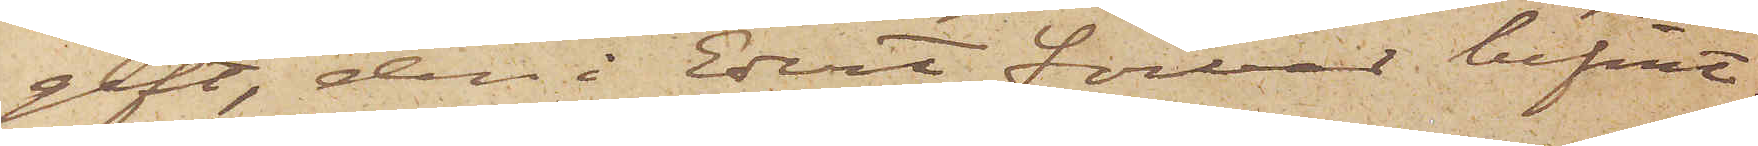gift, den i Edert förvar befint¬
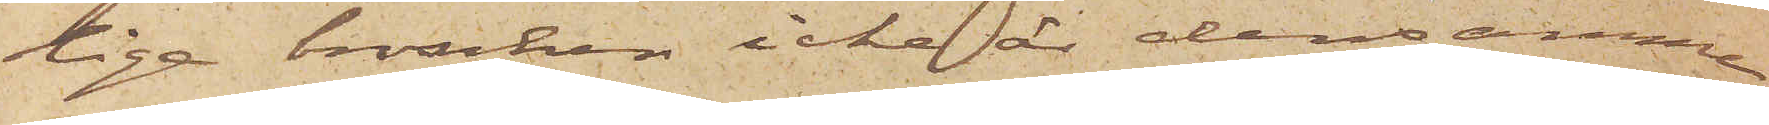liga broschen icke är densamma
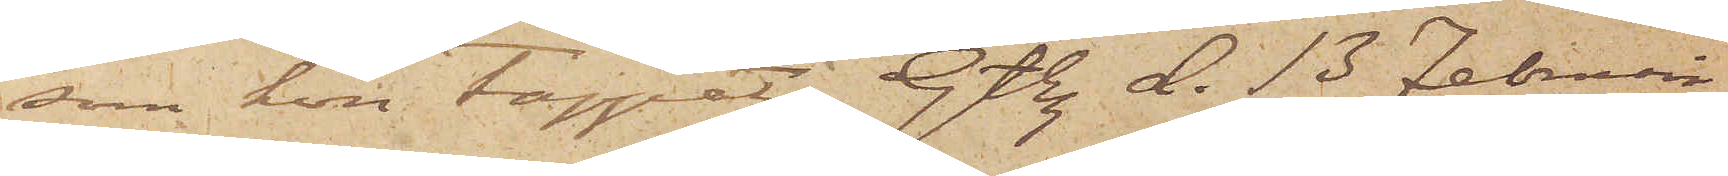som hon tappat. Gtbg. d. 13 Februari
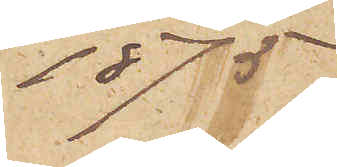1875.
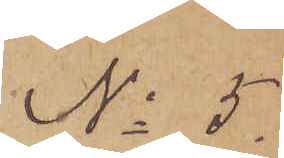No 5
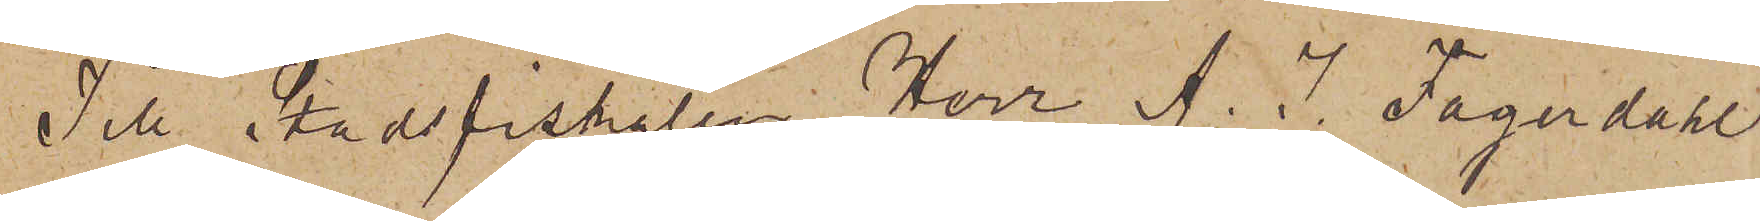Till Stadsfiskalen Herr A. J. Fagerdahl
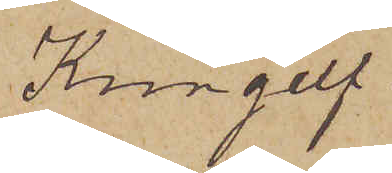Kungelf.
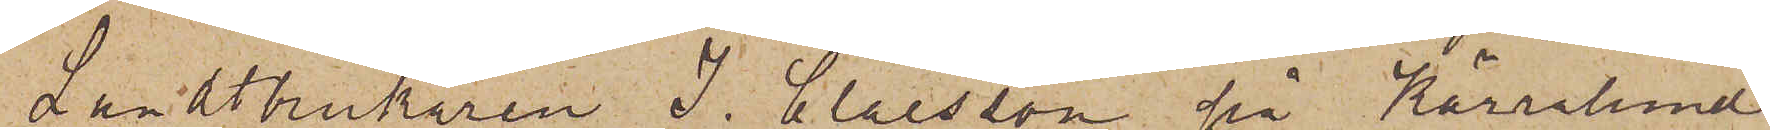Landtbrukaren J. Claesson på Kärralund
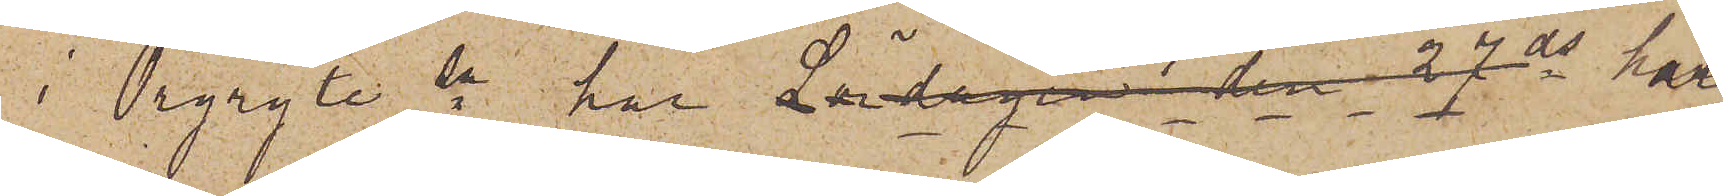i Örgryte sn har Lördagen den 27 ds här¬
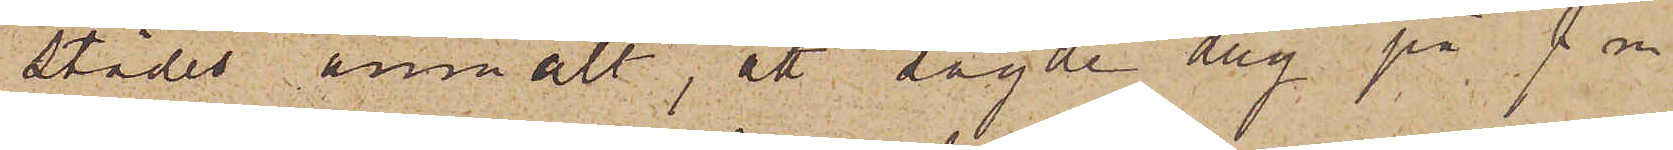städes anmält, att sagde dag på f. m.
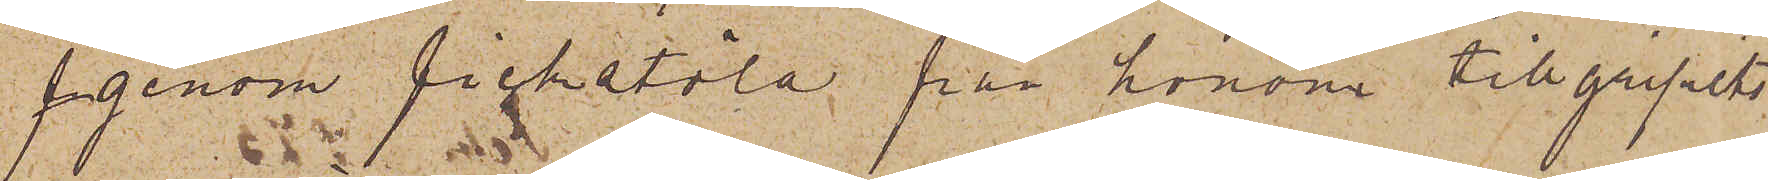f genom fickstöld, från honom tillgripits
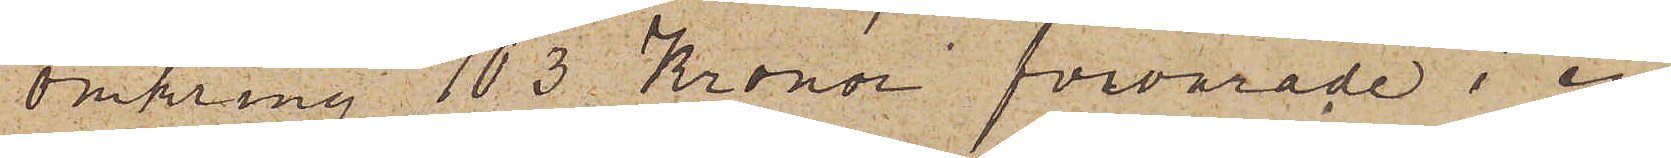omkring 103 Kronor förvarade i en
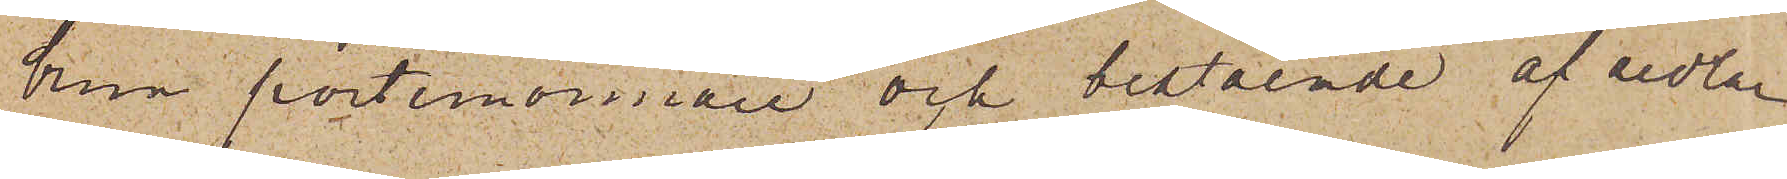brun portmonnaie och bestående af sedlar
